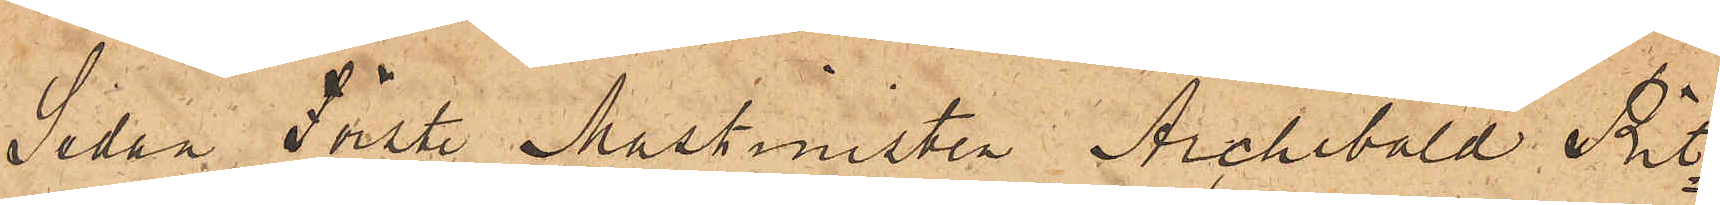Sedan Förste Maskinisten Archibald Rit¬
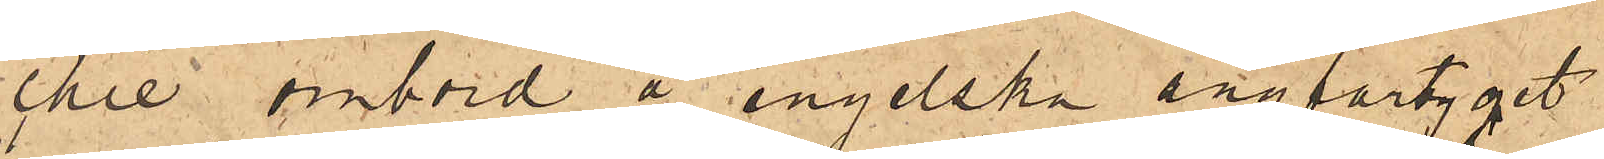chie ombord å engelska ångfartyget
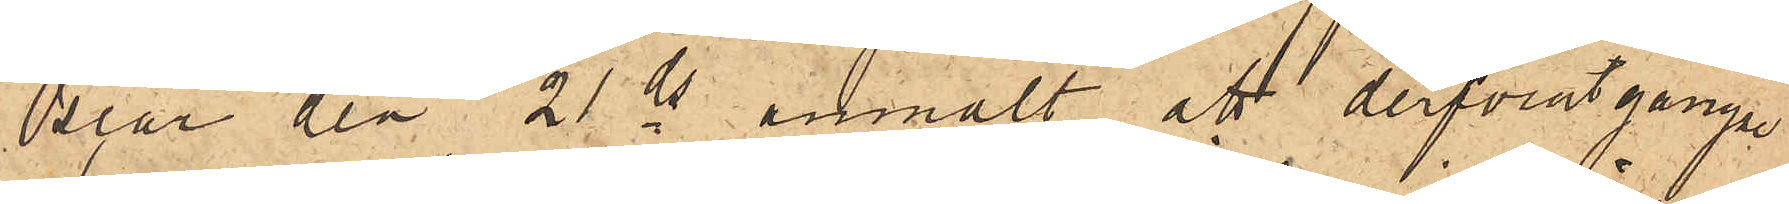"Oscar" den 21 ds anmält, att derförutgångne
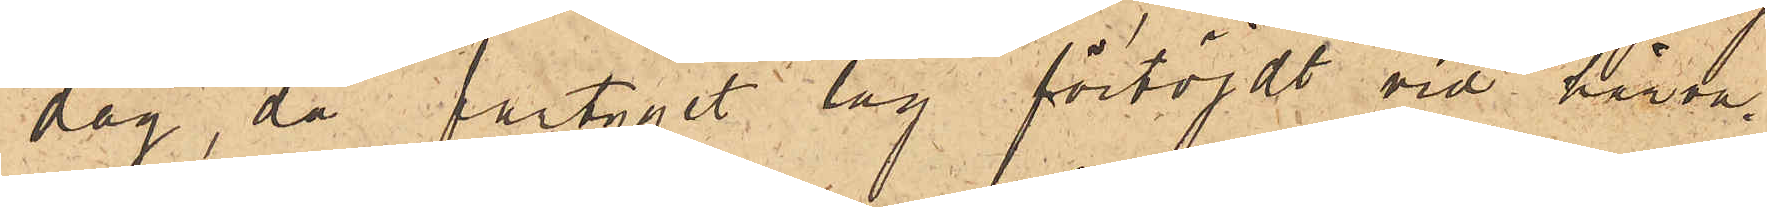dag, då fartyget låg förtöjdt vid härva¬
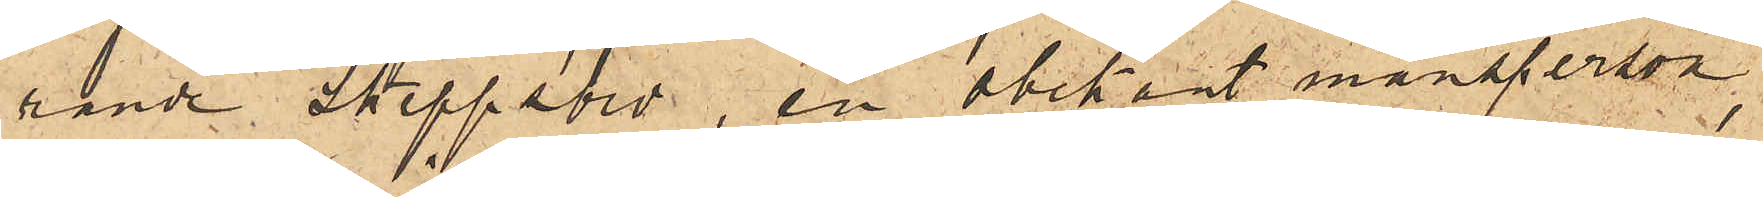rande Skeppsbro, en obekant mansperson,
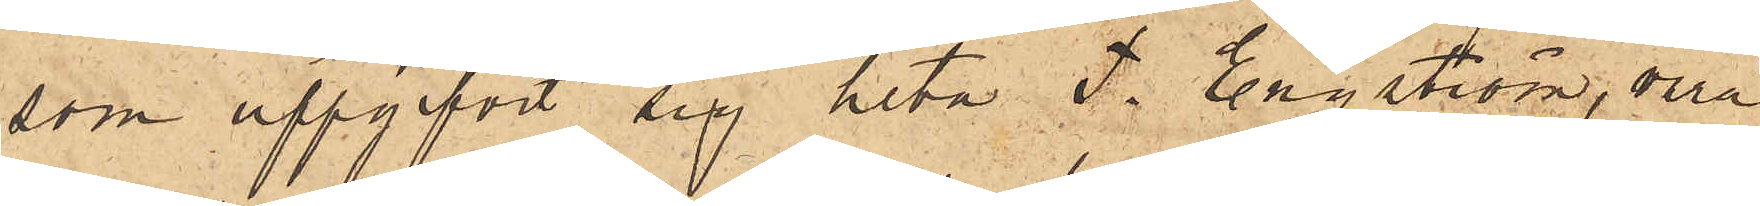som uppgifvit sig heta T. Engström, vara
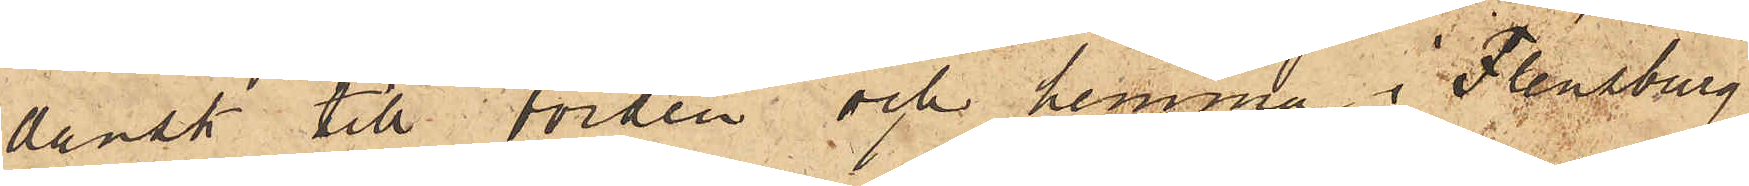dansk  till börden och hemma i Flenburg
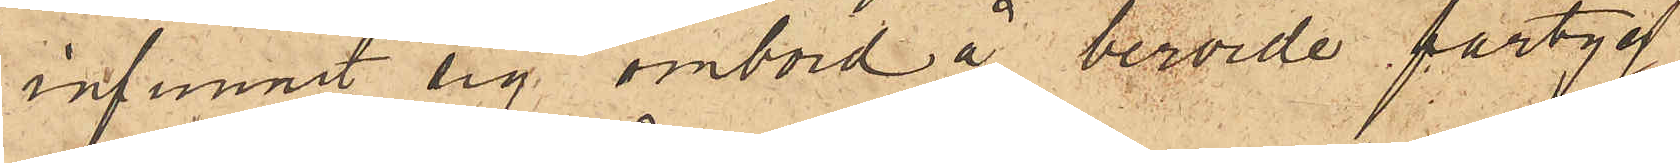infunnit sig ombord å berörde fartyg
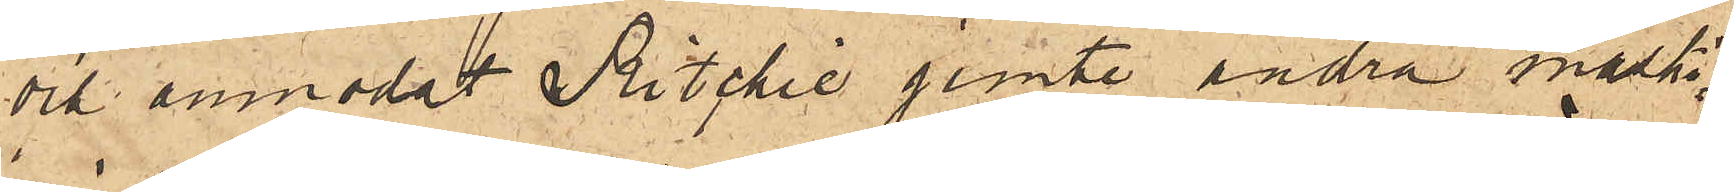och anmodat Ritchie jemte andra maski¬
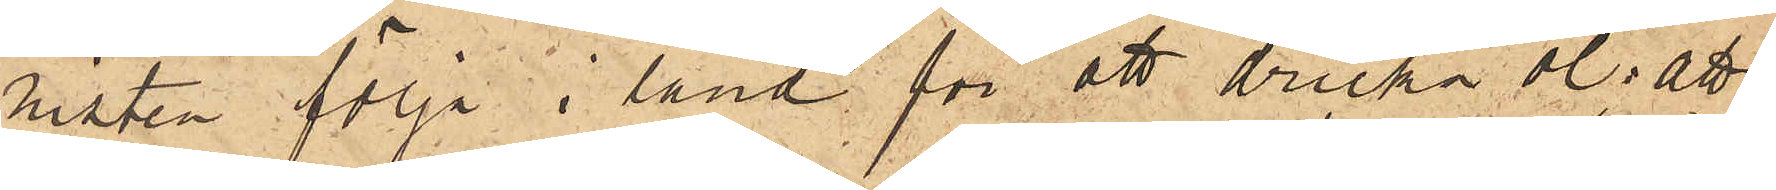nisten följa i land för att dricka öl; att
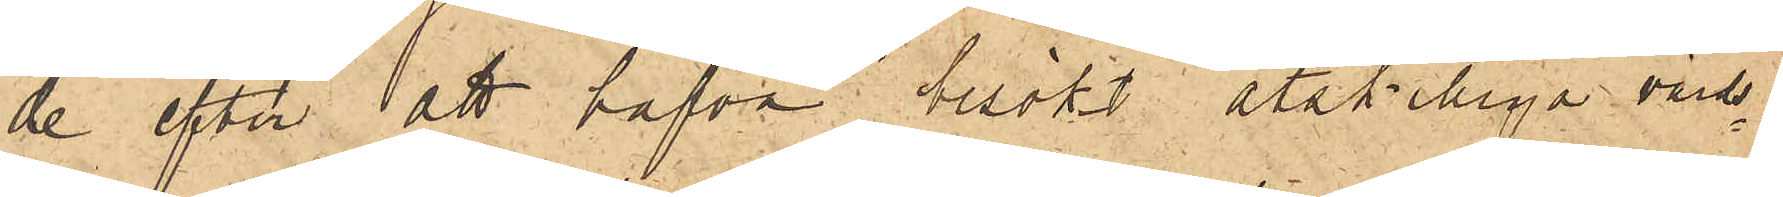de efter att hafva besökt åtskilliga värd¬
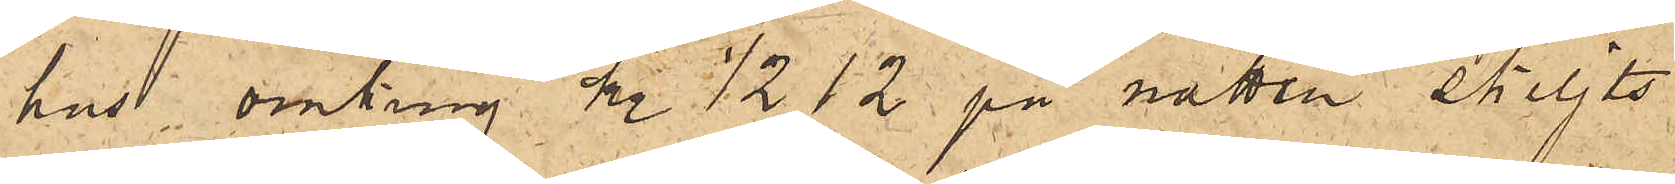hus omkring kl. ½12 på natten skiljts
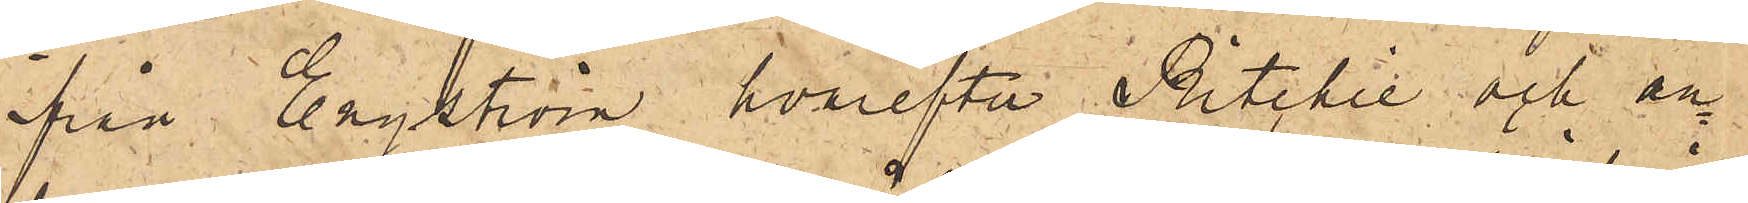från Engström, hvarefter Ritchie och an¬
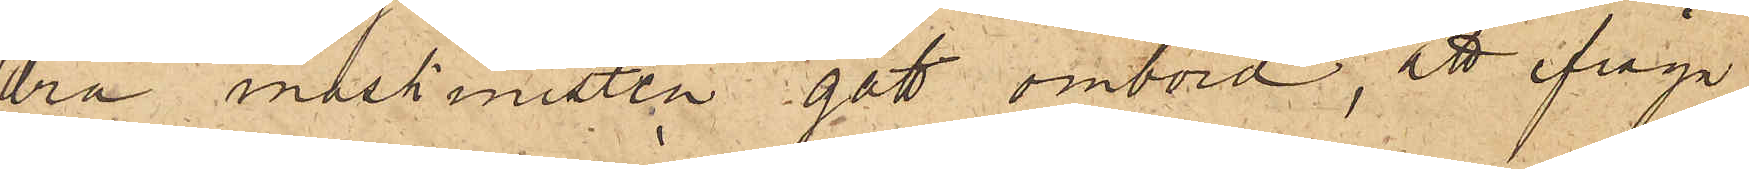dra maskinisten gått ombord; att ifråga¬
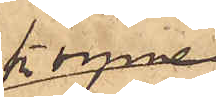komne
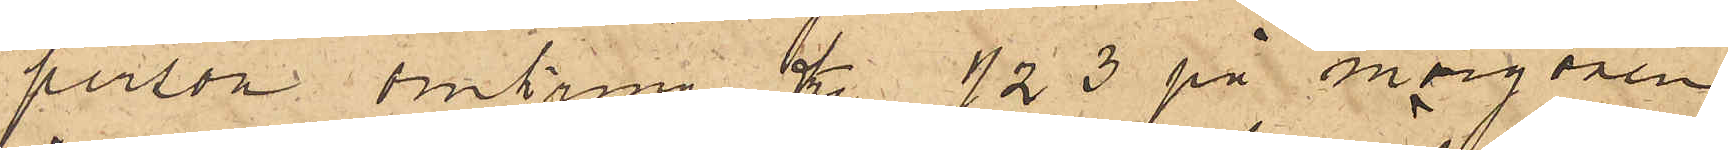person omkring kl. ½3 på morgonen
